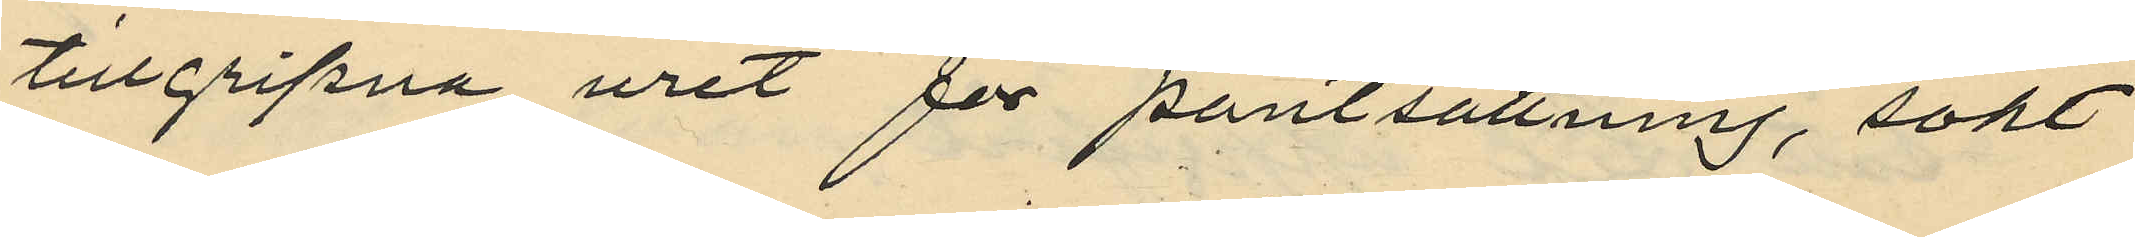tillgripna uret för pantsättning, sökt
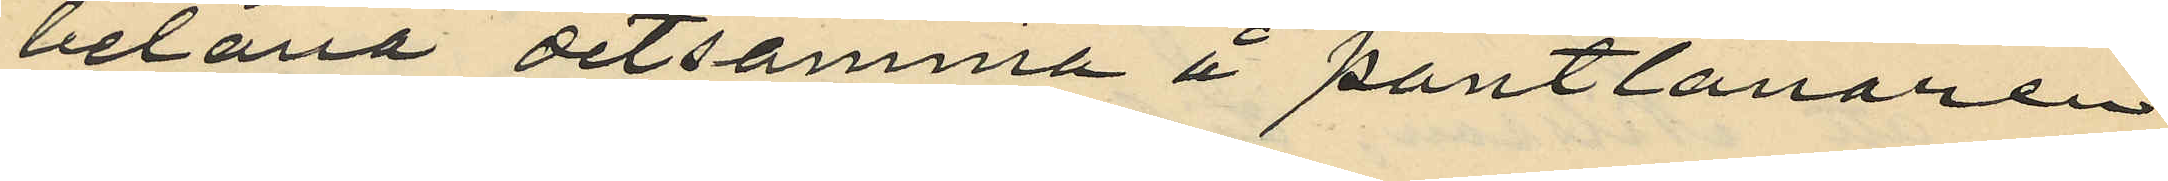belåna detsamma å pantlånaren
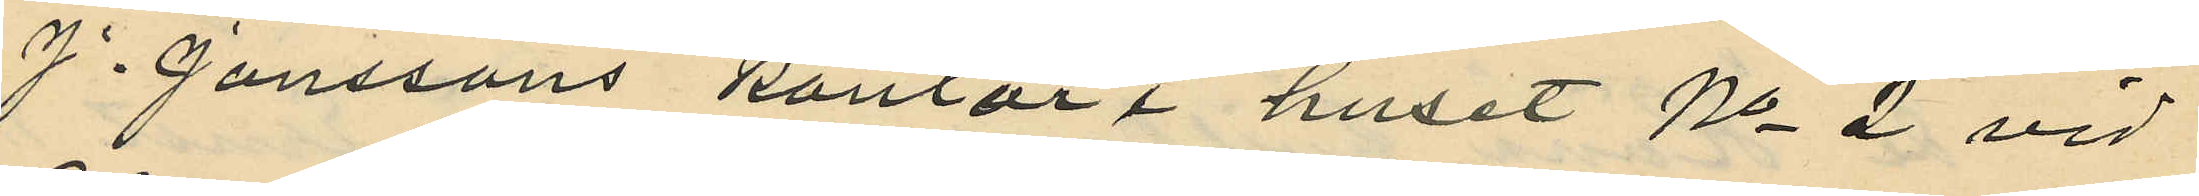J. Janssons kontor i huset No 2 vid
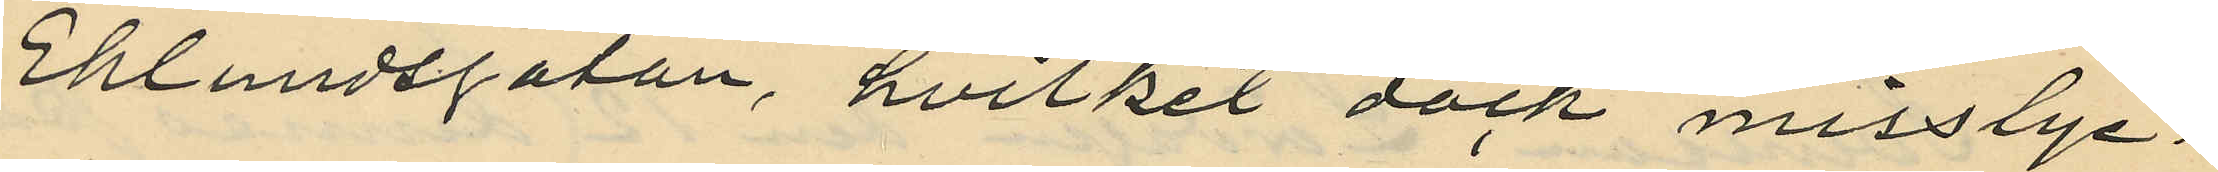Eklundsgatan, hvilket dock misstyc¬
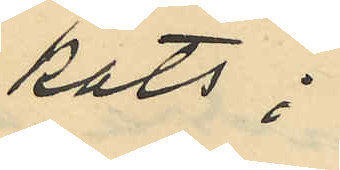kats;
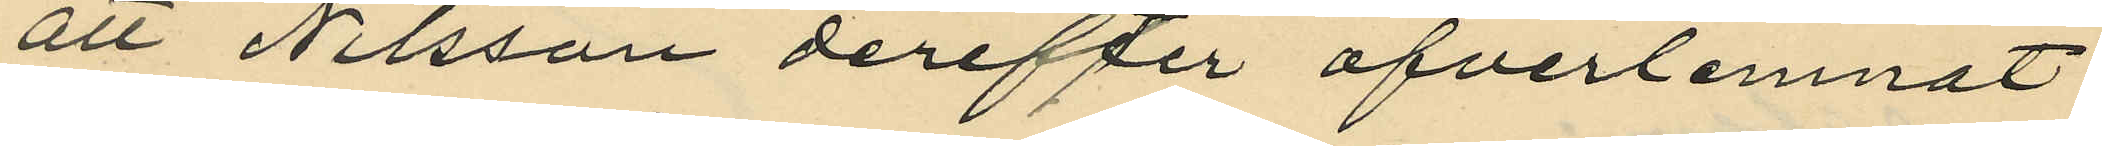att Nilsson derefter öfverlemnat
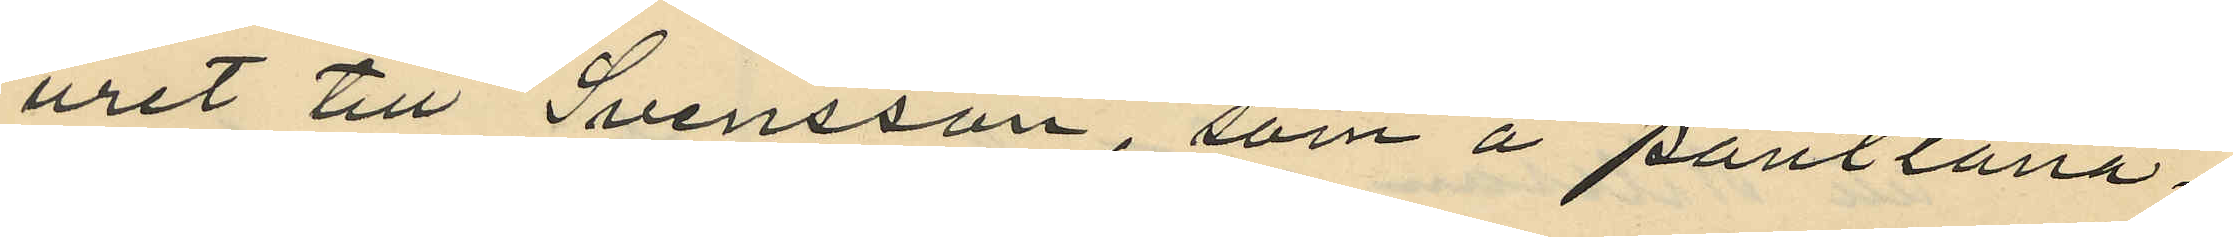uret till Svensson, som å pantlåna¬
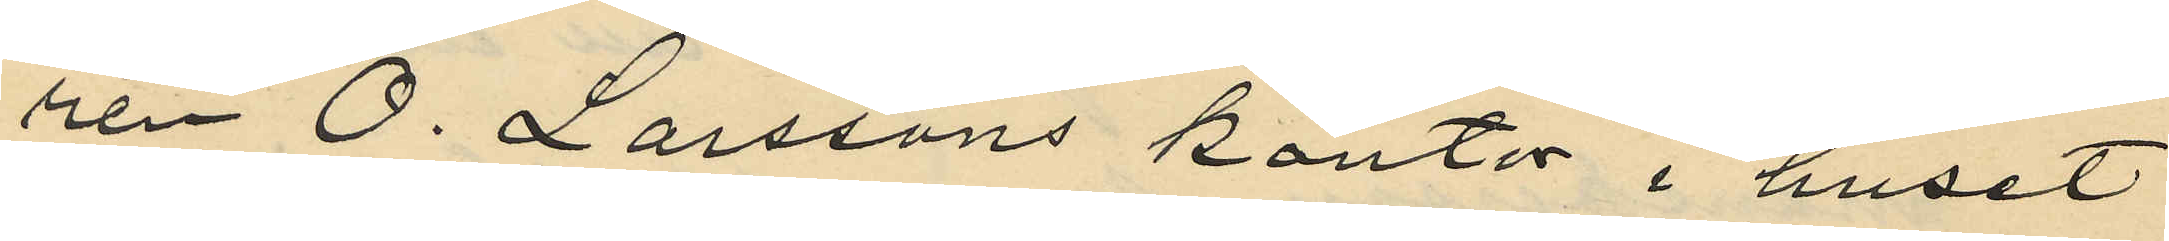ren O. Larssons kontor i huset
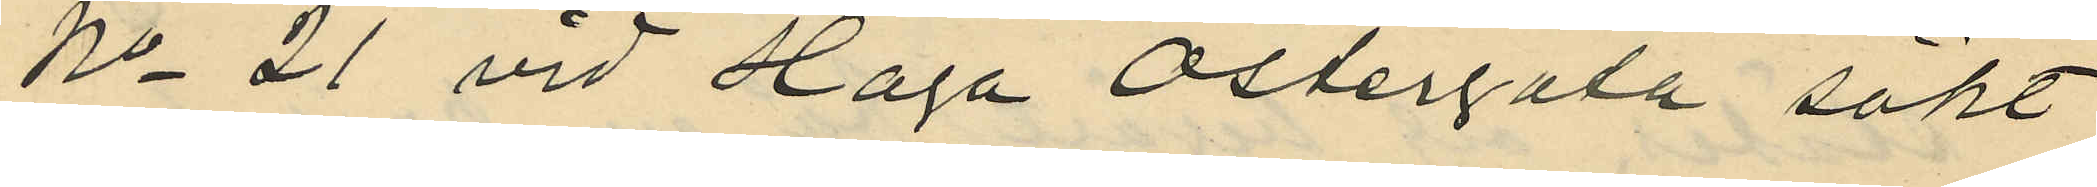No 21 vid Haga Östergata sökt
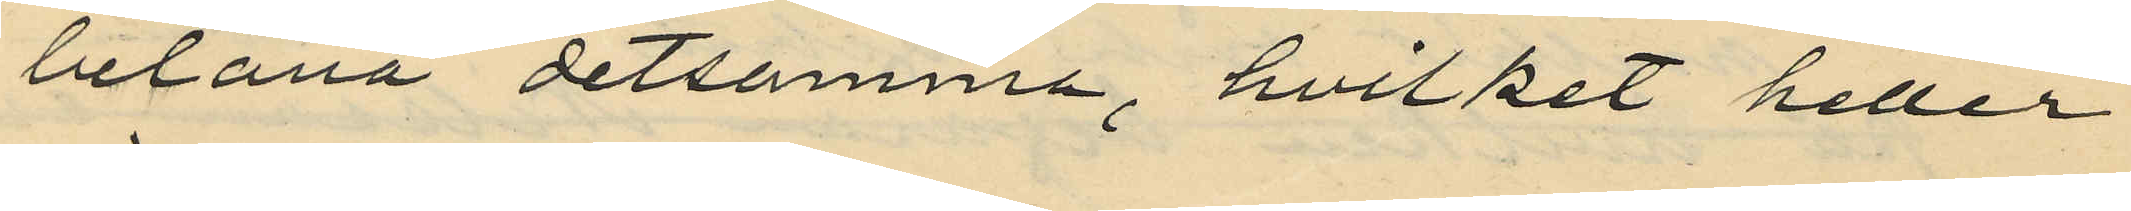belåna detsamma, hvilket heller
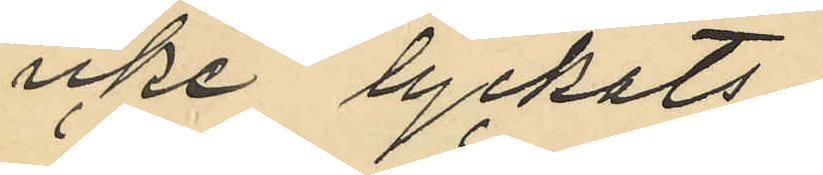icke lyckats;
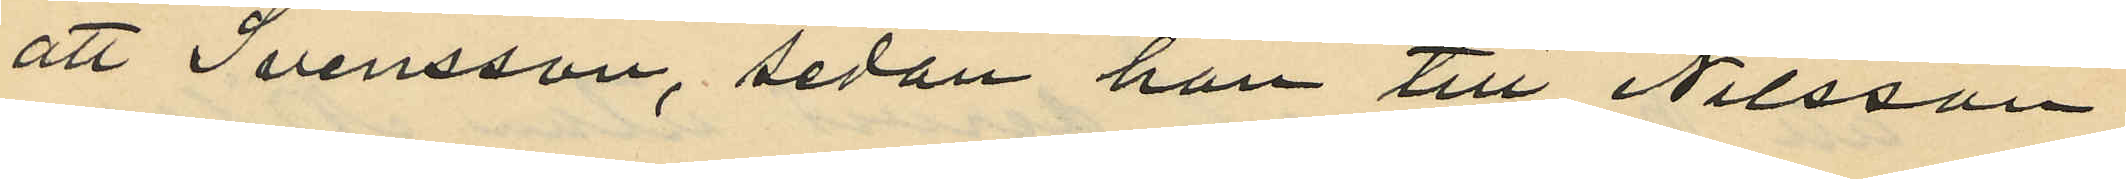att Svensson, sedan han till Nilsson
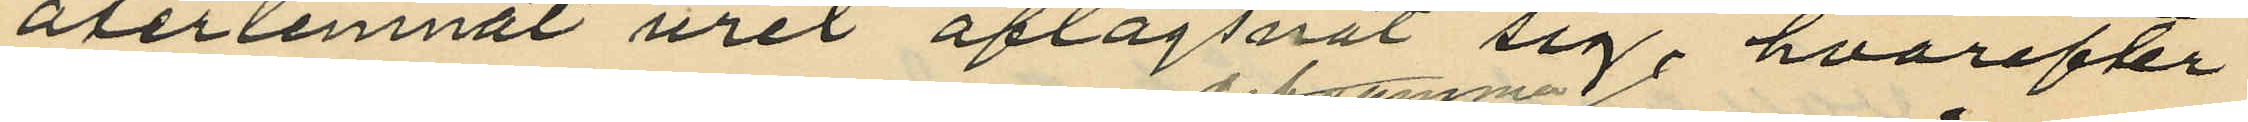återlemnat uret aflägsnat sig, hvarefter
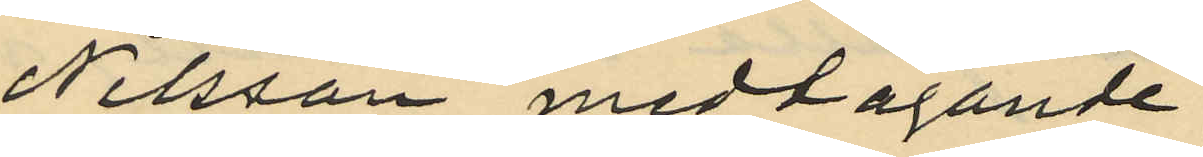Nilsson medtagande
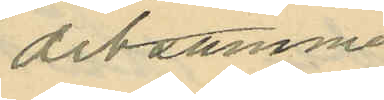desatmme
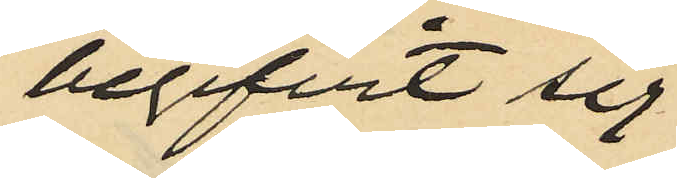begifvit sig
